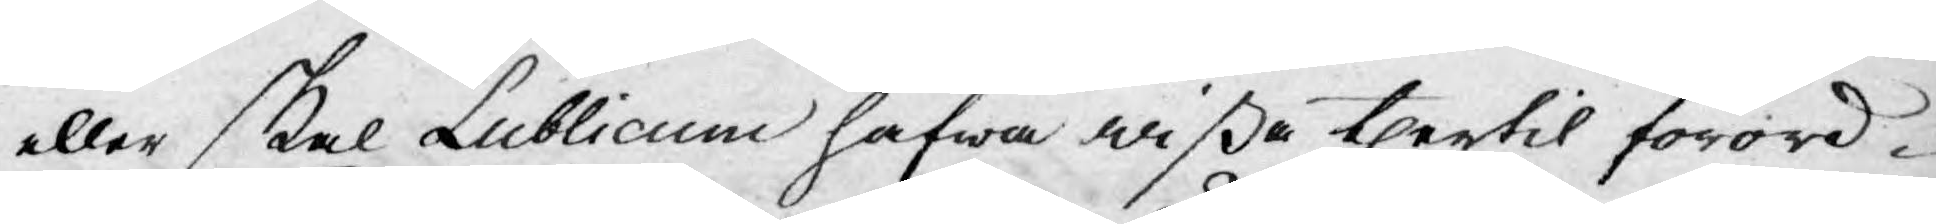eller skal Publicum hafwa wißa thertil förord¬
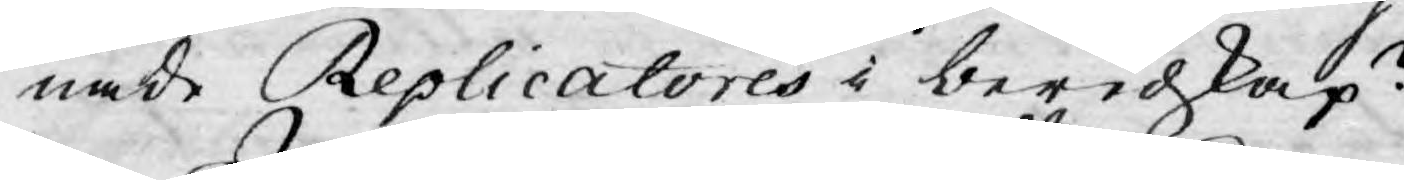nade Replicatores i beredskap?
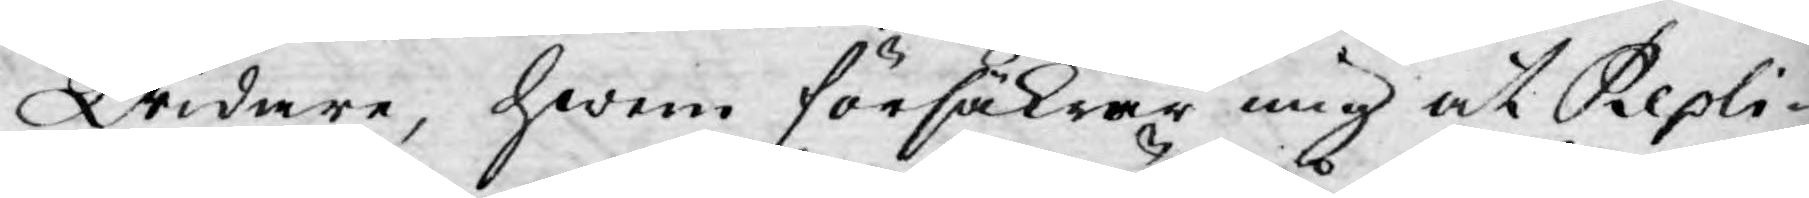Widare, hwem försäkrar mig at Repli¬
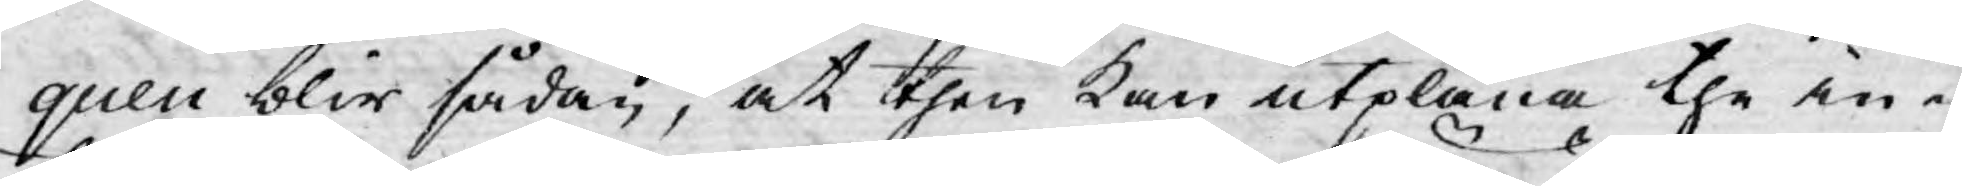quen blir sådan, at then kan utplåna the in¬
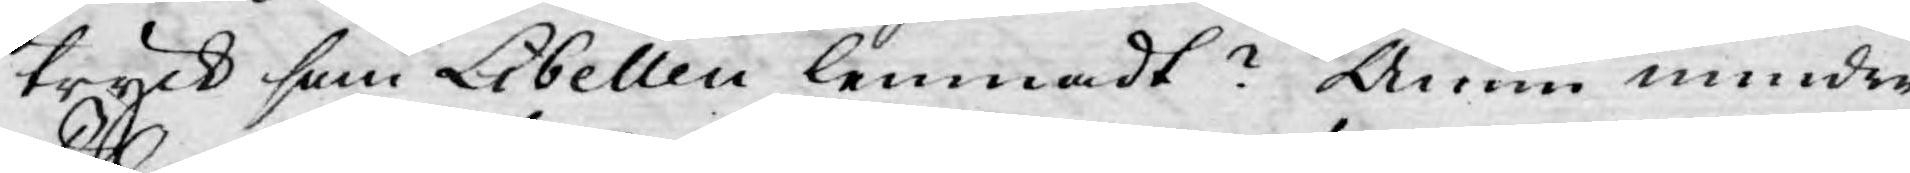tryck som Libellen lemnadt? Ännu mindre
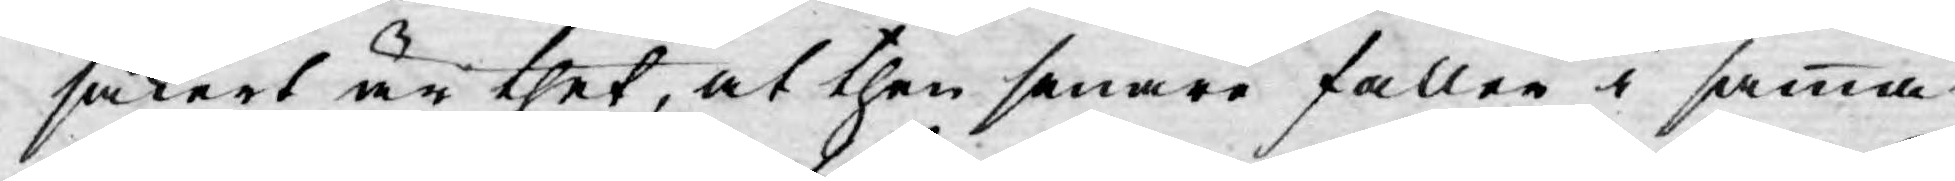säkert är thet, at then senare faller i samma
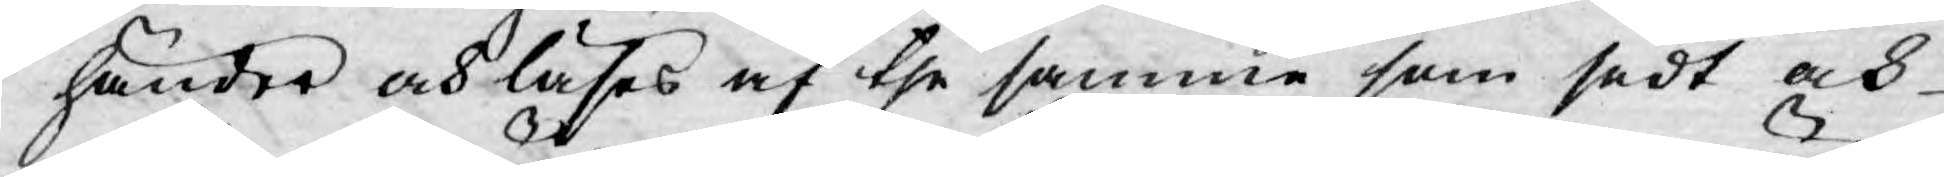händer och läses af the samma som sedt och
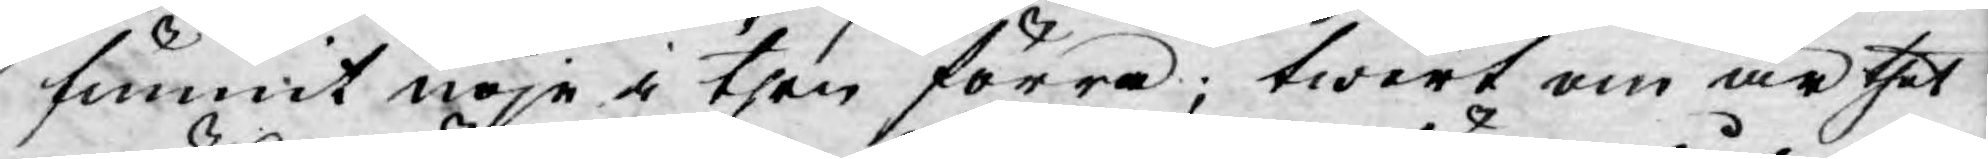funnit nöje i then förra; twert om är thet
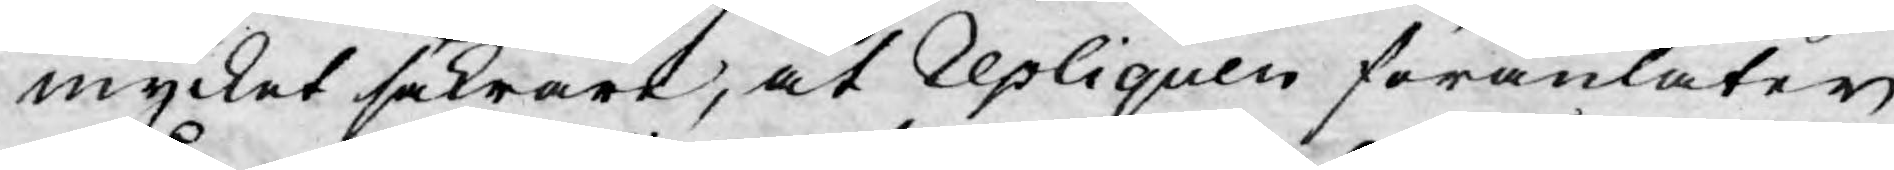mycket säkrare, at repliquen föranlåter
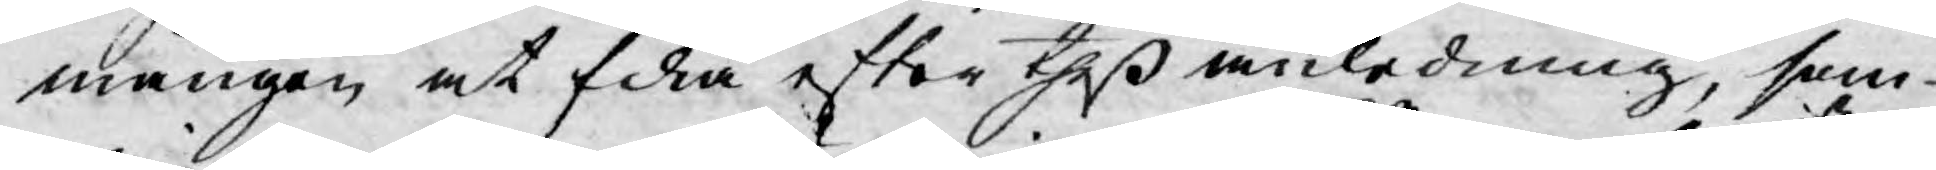mången at fika efter theß anledning, som
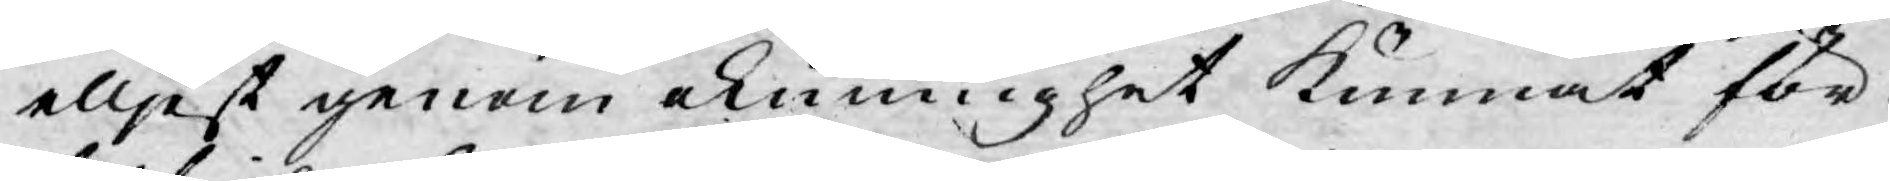elljest genom okunnighet kunnat för¬
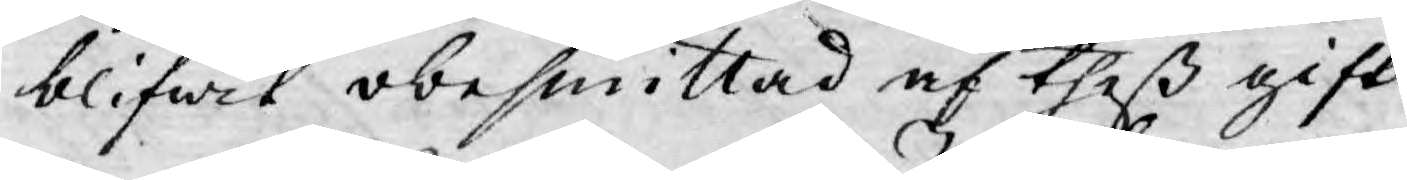blifwit obesmittad af theß gift.
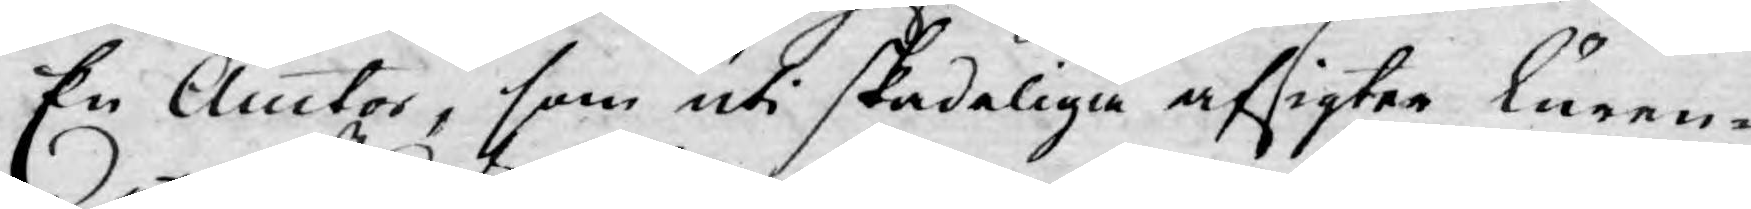En Auctor, som uti skadeliga afsigter luren¬
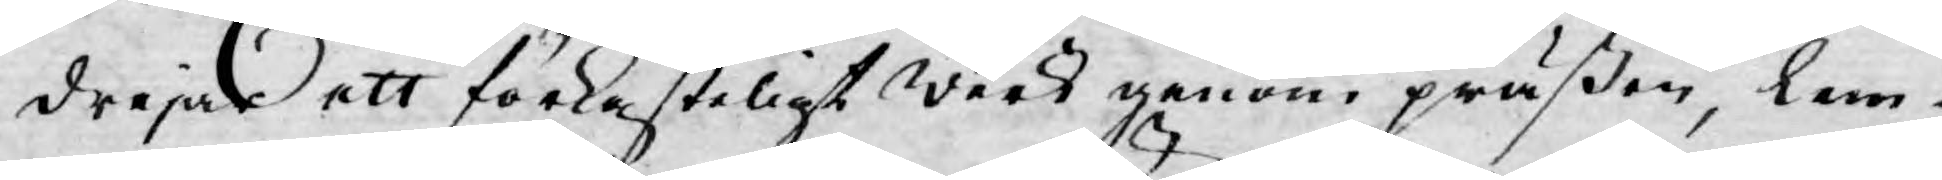drejar ett förkasteligt werk genom präßen, lem¬
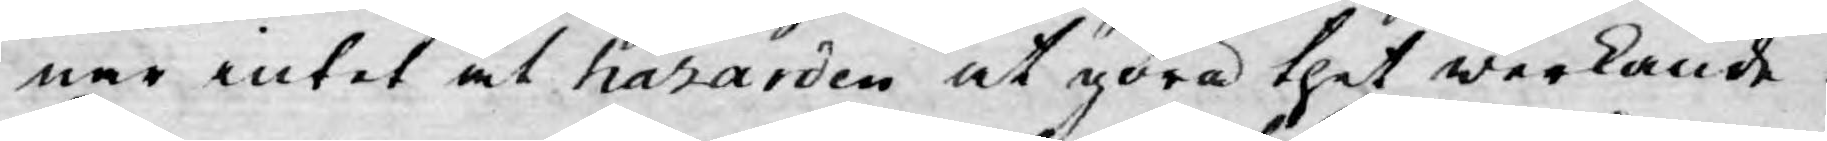nar intet åt hazarden at göra thet werkande:
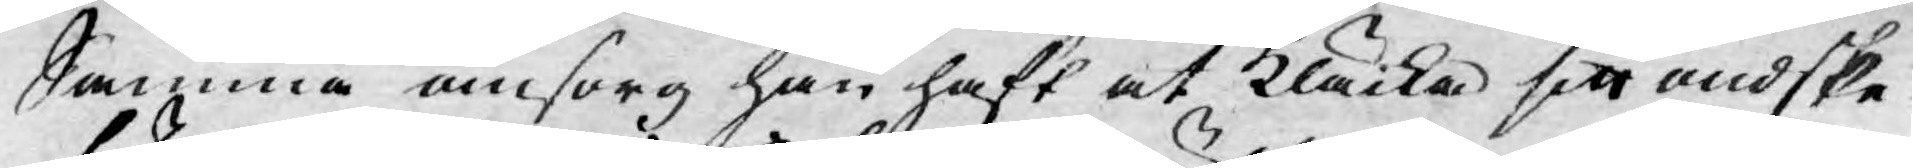Samma omsorg han haft at Kläcka sitt ondske
